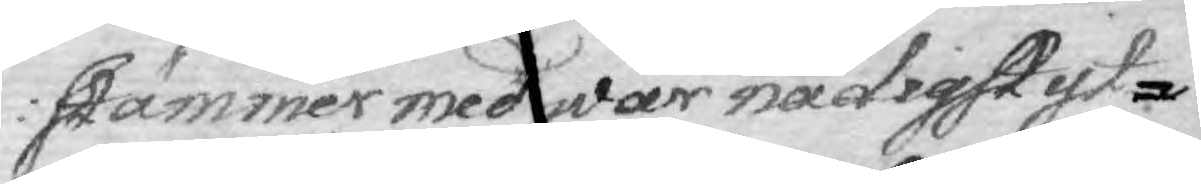stämmer med wår nådigst yt¬
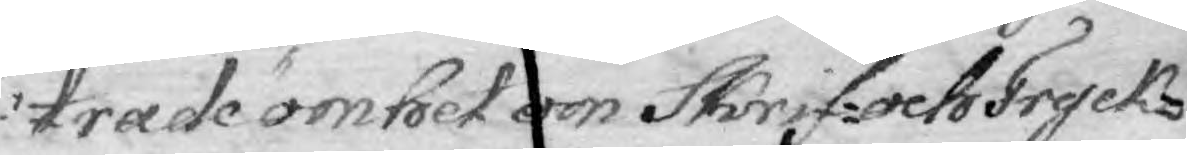trade ömhet om Skrif- och Tryck¬
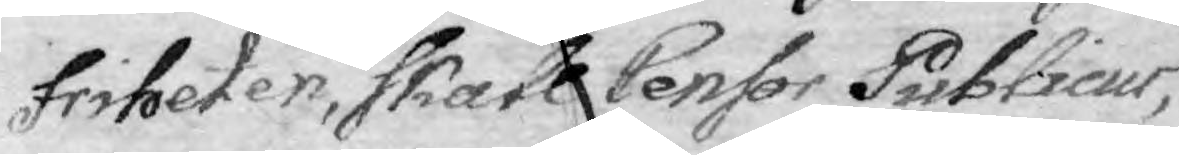friheten, skall Censor Publicus,
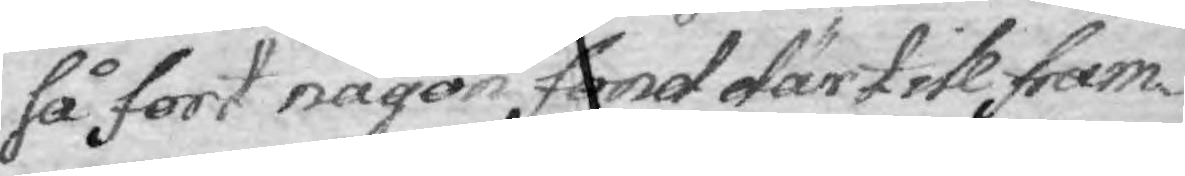så fort någon fand därtill fram¬
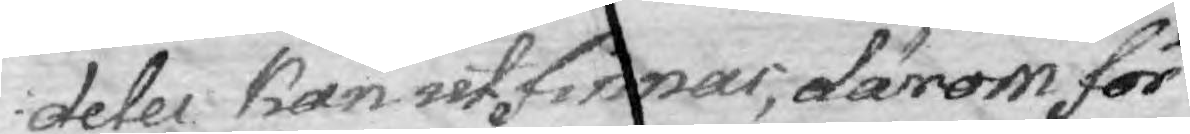deles kan utfinnas; därom för¬
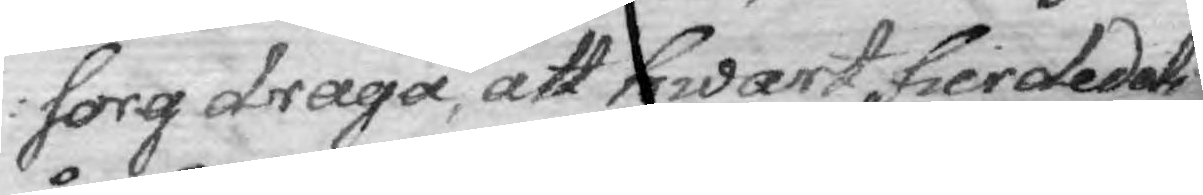sorg draga, att hwart fierdedels
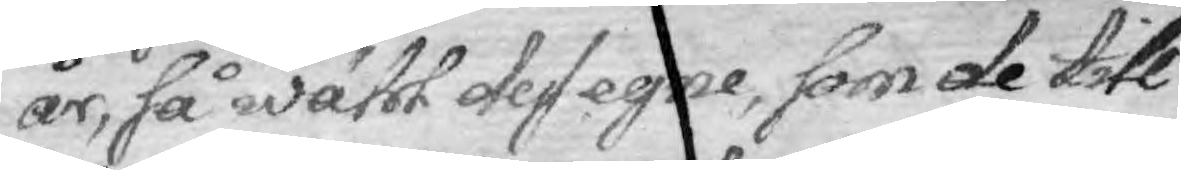år, så wähl dess egne, som de till 
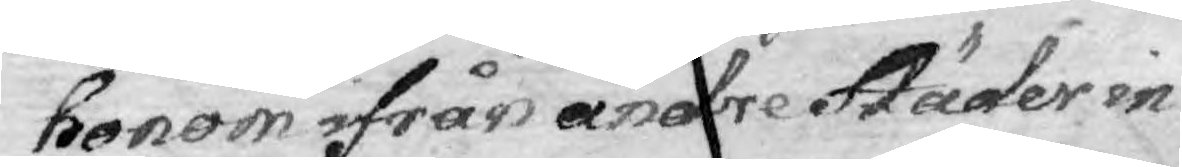honom ifrån andre Städer in¬
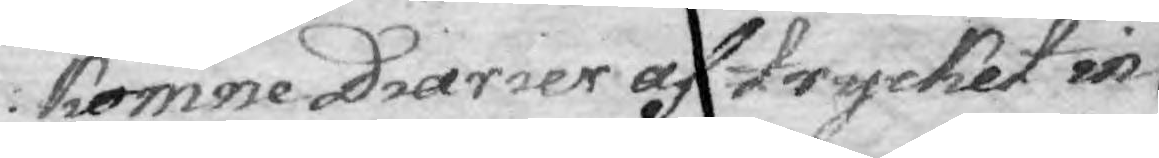komne Diarier af trycket in
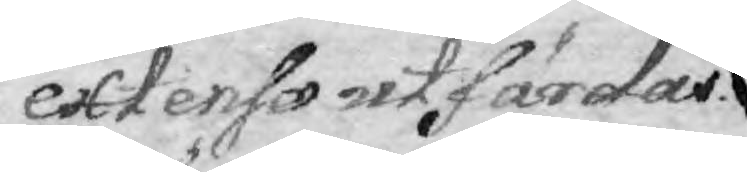extenso utfärdas.
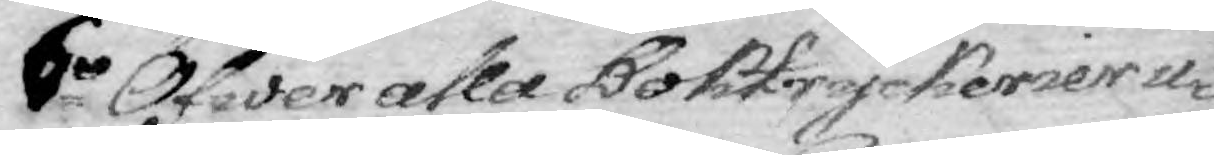6o Öfwer alla Boktryckerier u¬
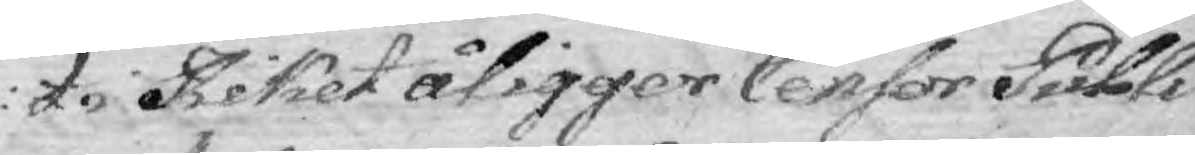ti Riket åligger Censor Publi¬
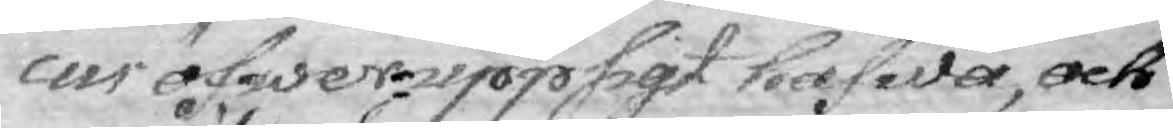cus öfwerupppsigt hafwa, och
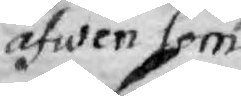äfwen som
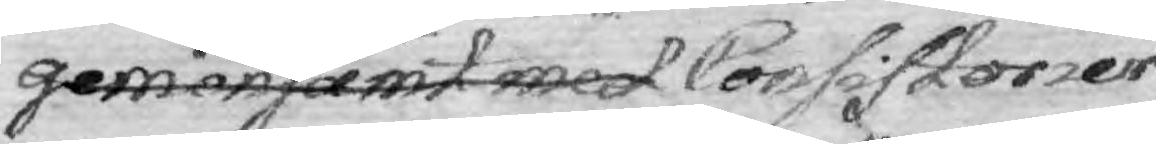gemensamt med Consistorier¬
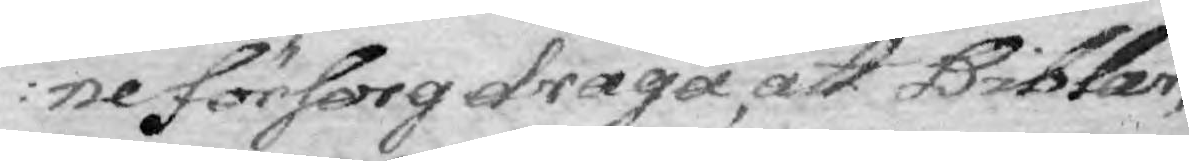ne försorg draga att Biblar,
